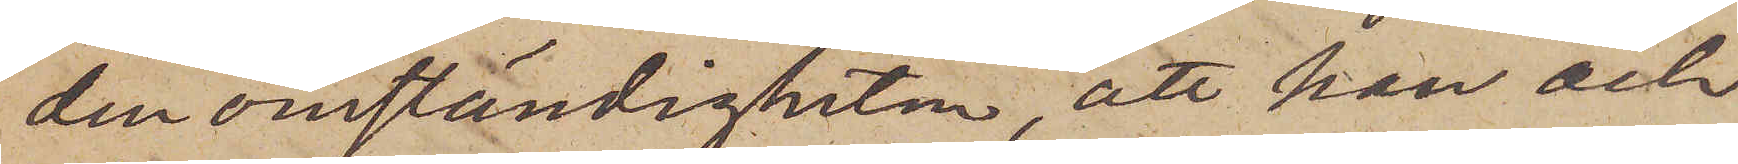den omständigheten, att han och
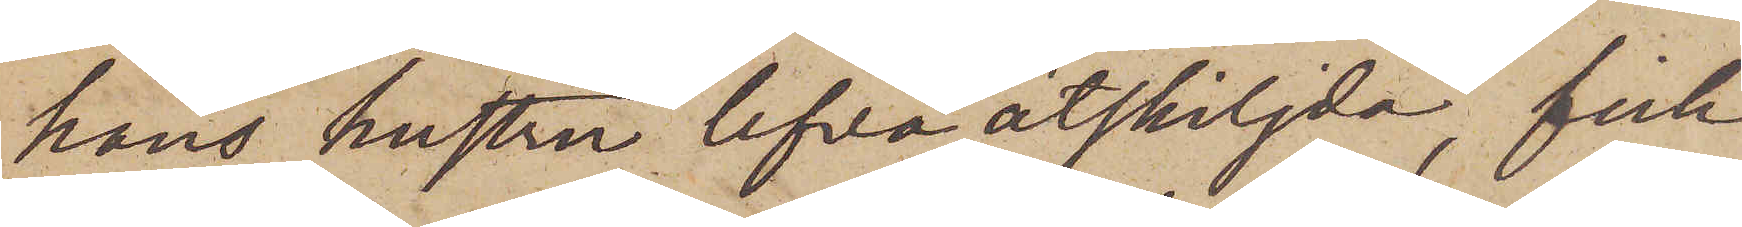hans hustru lefva åtskiljda, fick
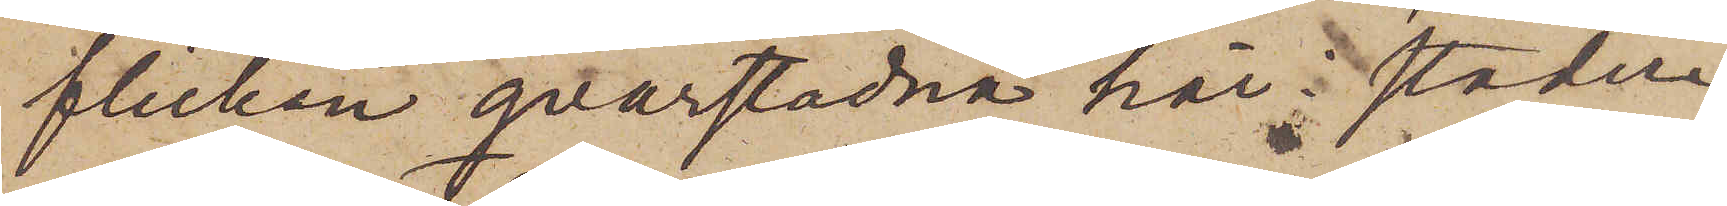flickan qvarstadna här i staden,
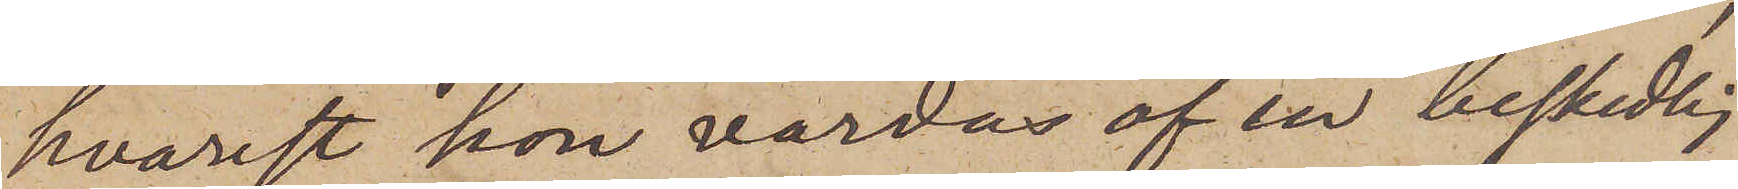hvarest hon vårdas af en beskedlig
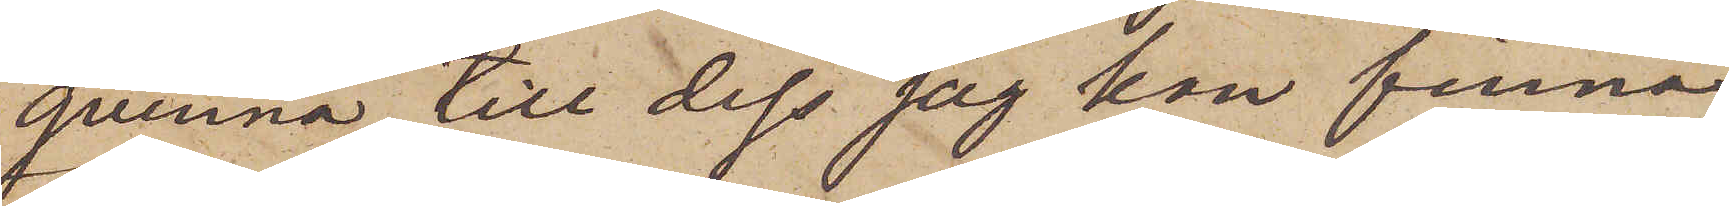qvinna, till dess jag kan finna
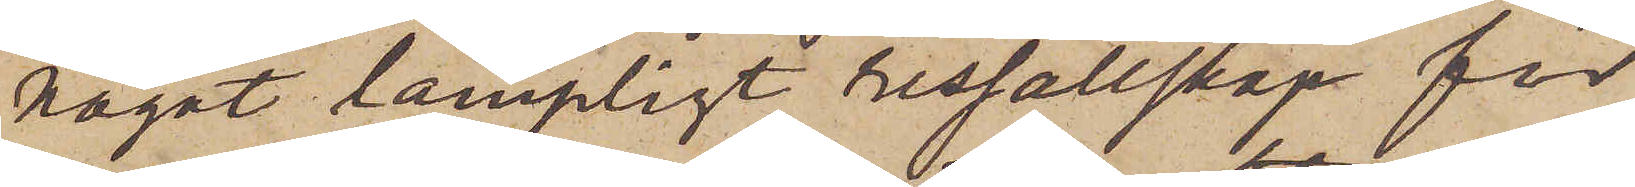något lämpligt ressällskap för
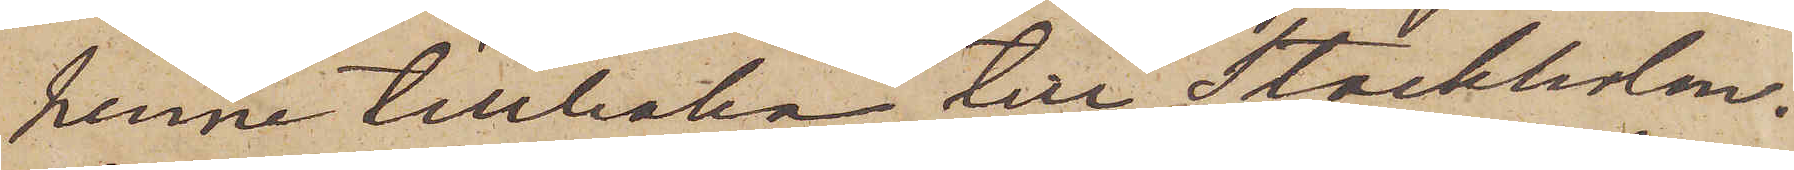henne tillbaka till Stockholm,
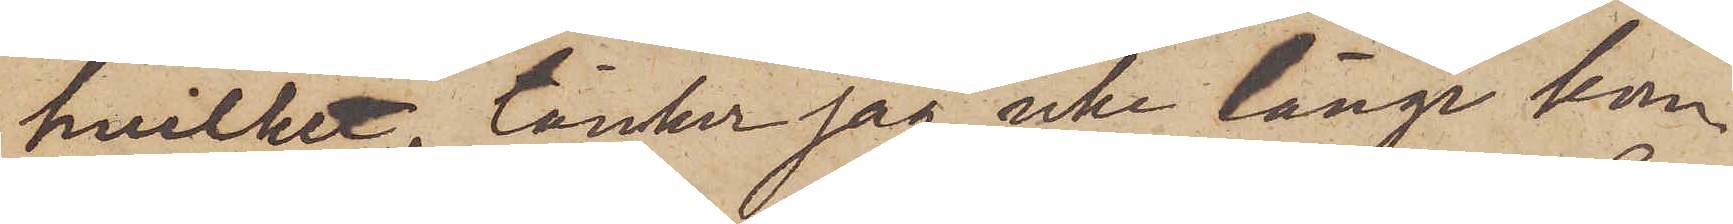hvilket, tänker jag, icke länge kom¬
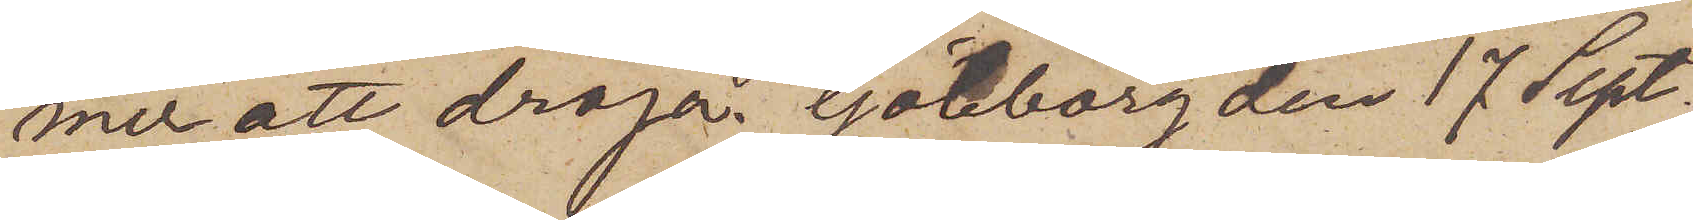mer att dröja. Göteborg den 17 Sept.
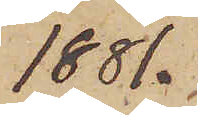1881.
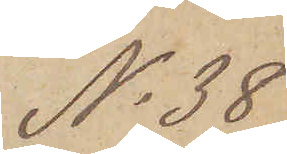No 38
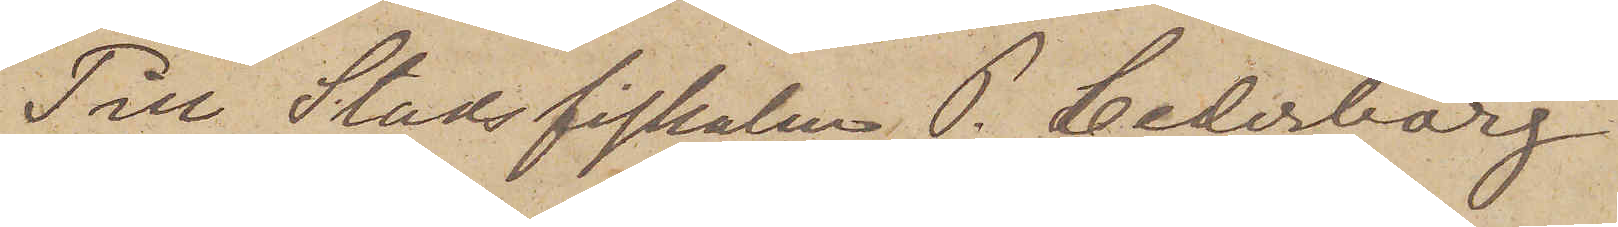Till Stadsfiskalen P. Cederborg
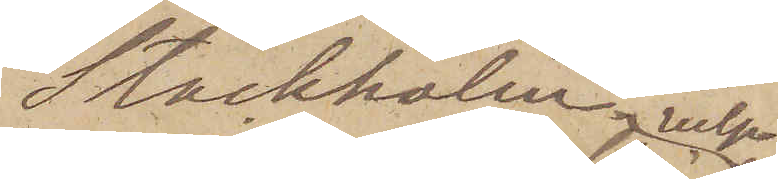Stockholm 
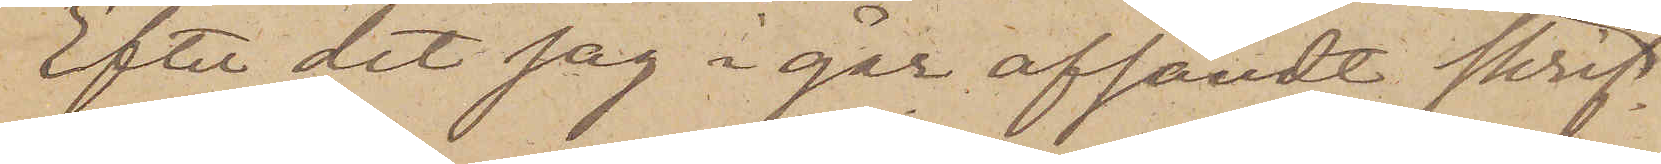Efter det jag i går afsändt skrifelsen
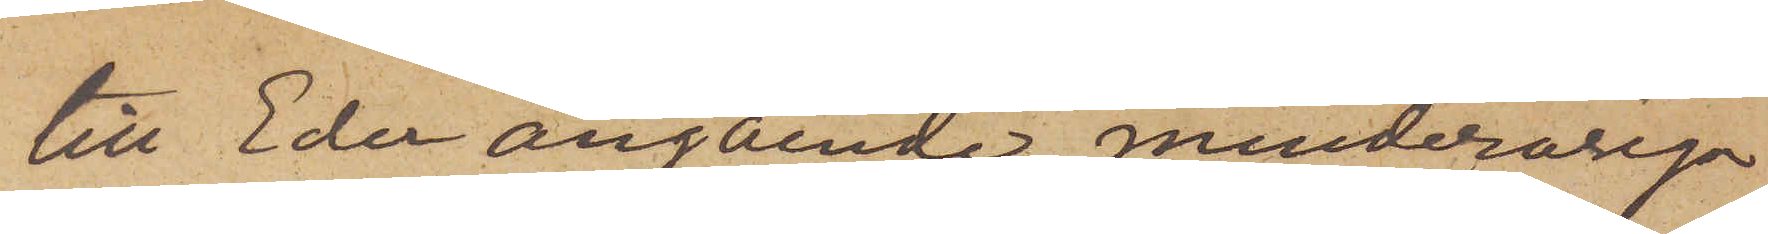till Eder angående minderåriga
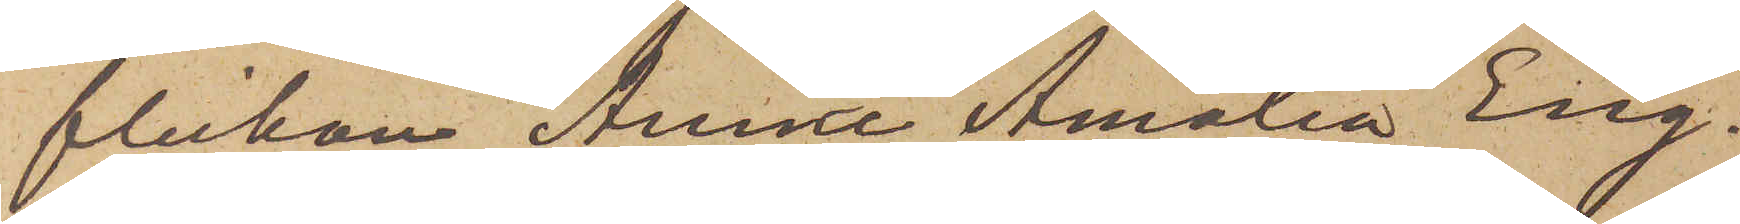flickan Anna Amalia Eng¬
